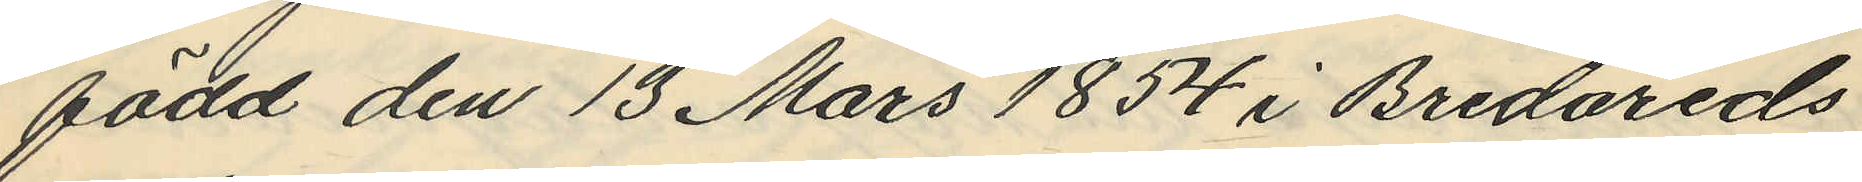född den 13 Mars 1854 i Bredareds
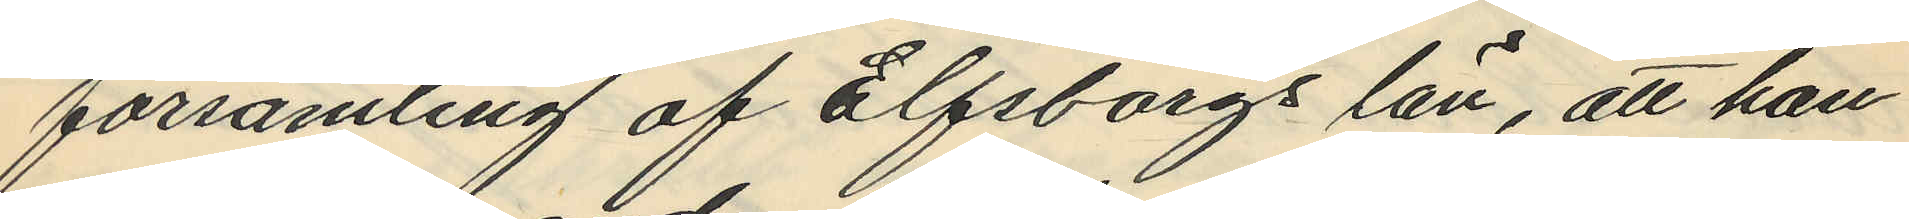församling af Elfsborgs län, att han
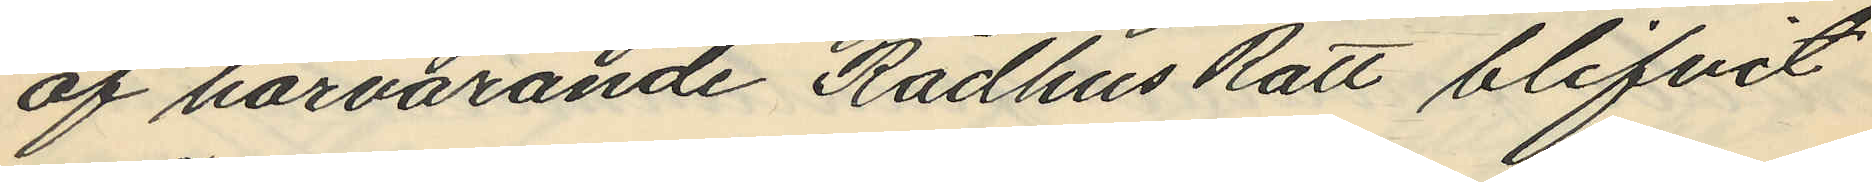af härvarande Rådhus Rätt blifvit
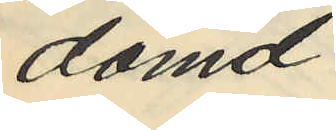dömd
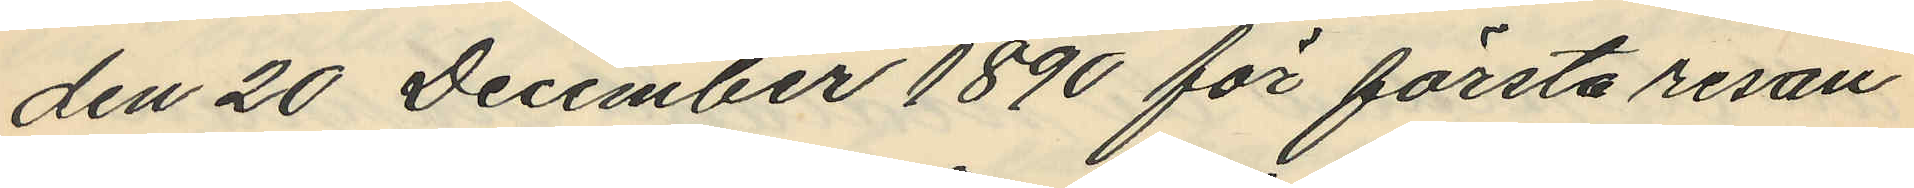den 20 December 1890 för första resan
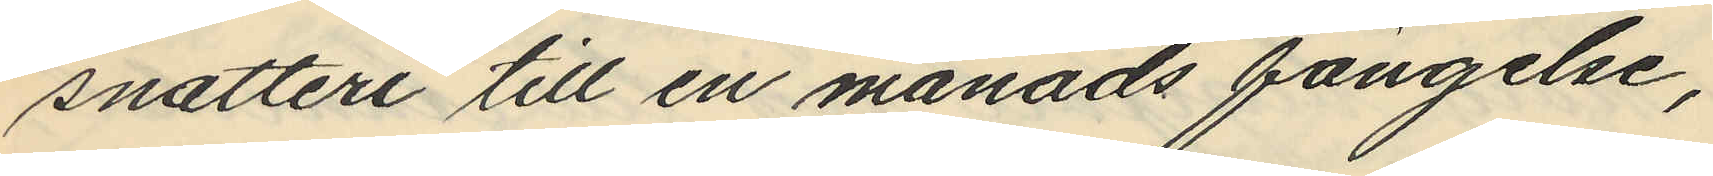snatteri till en månads fängelse,
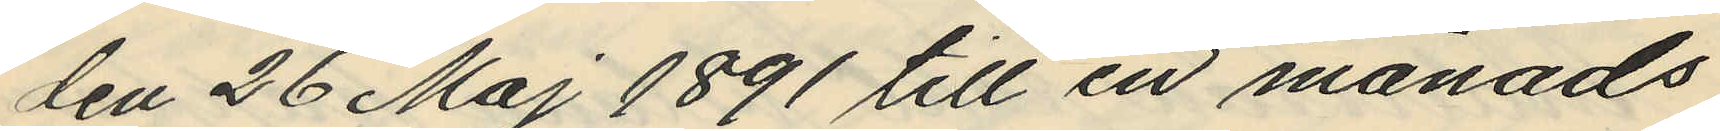den 26 Maj 1891 till en månads
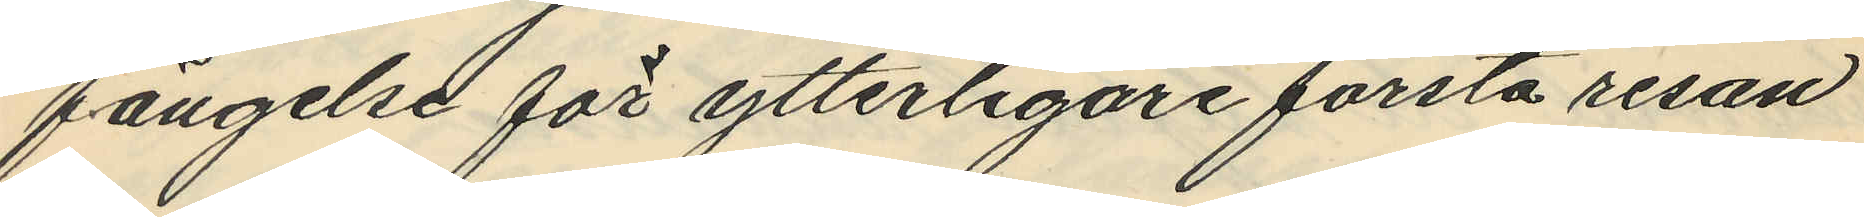fängelse för ytterligare första resan
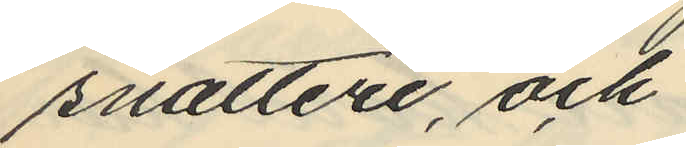snatteri, och
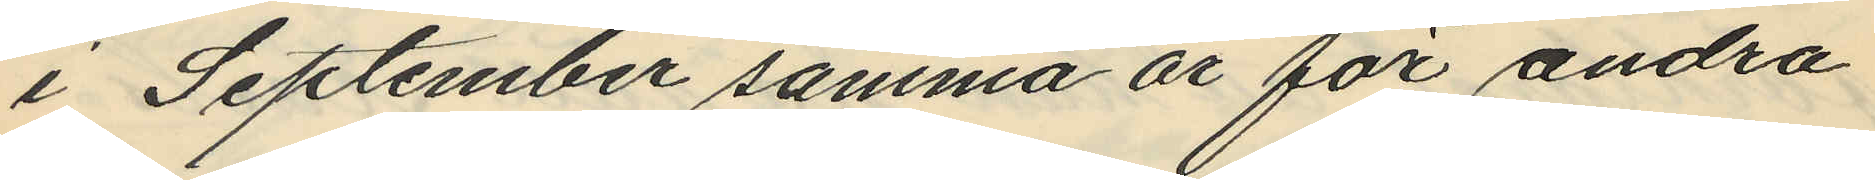i September samma år för andra
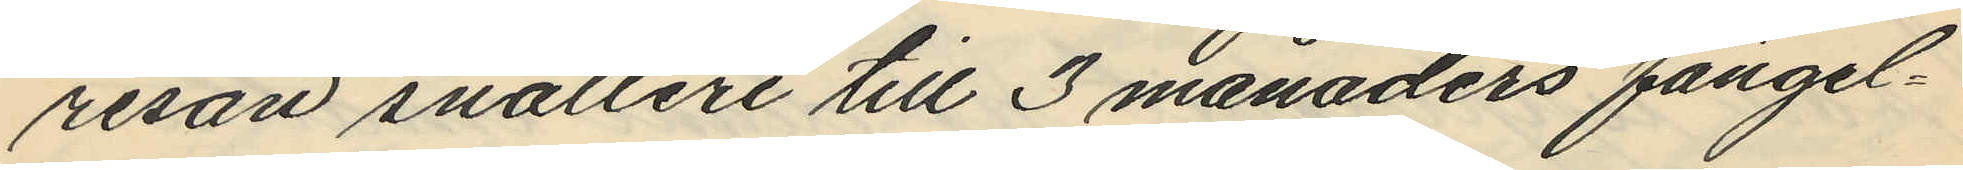resan snatteri till 3 månaders fängel¬
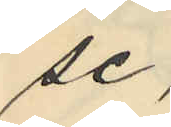se,
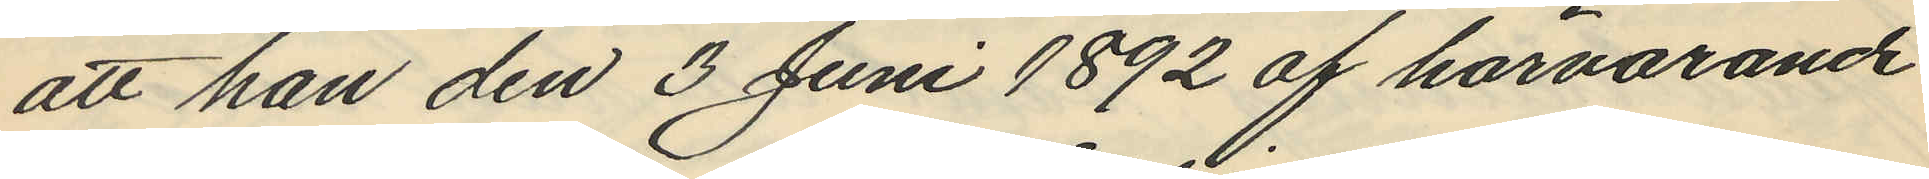att han den 3 Juni 1892 af härvarande
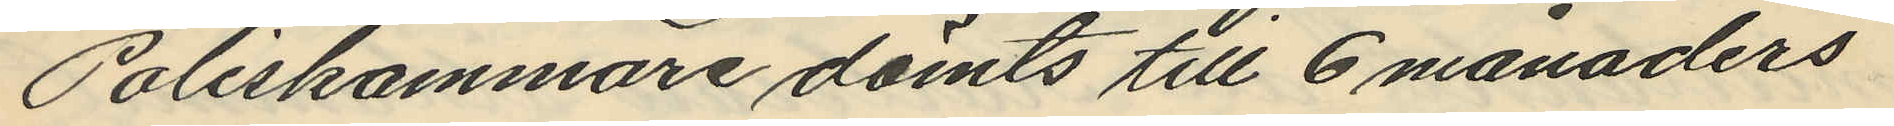Poliskammare dömts till 6 månaders
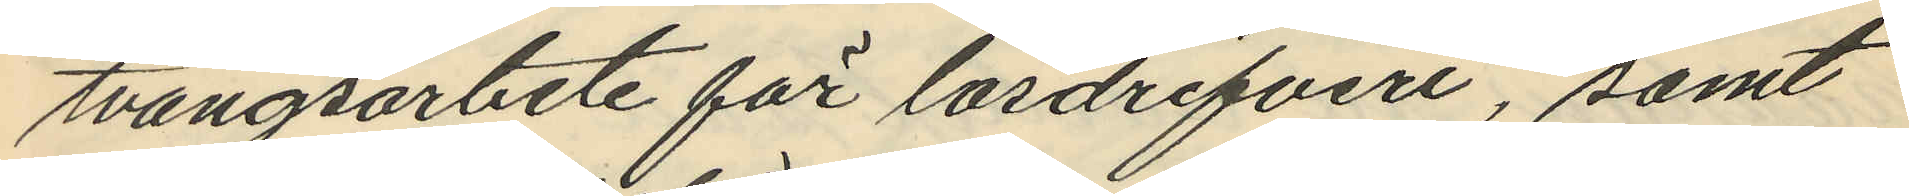tvångsarbete för lösdrifveri, samt
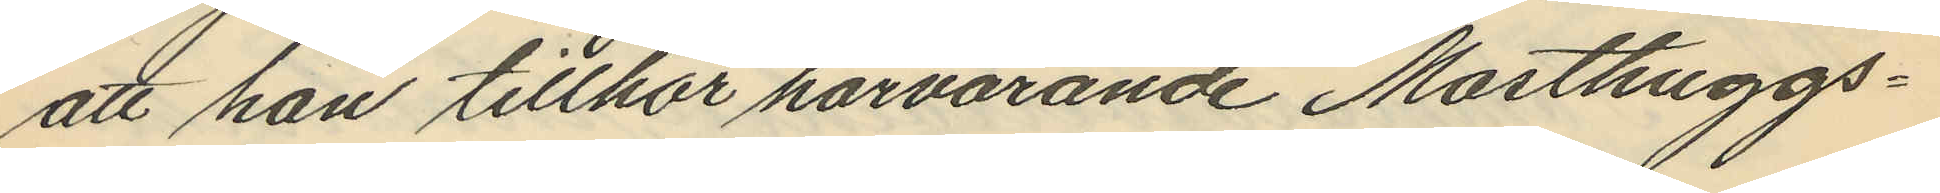att han tillhör härvarande Masthuggs¬
